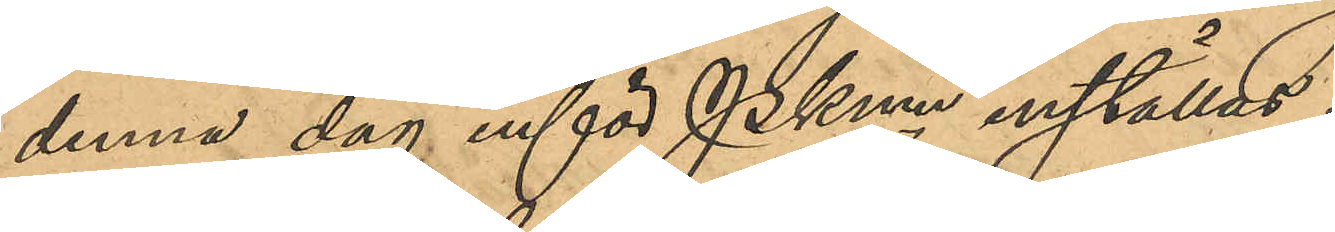denna dag inför PKmn inställas.
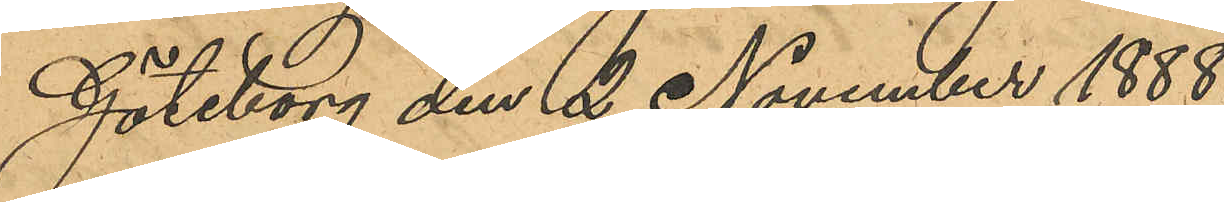Göteborg den 2 November 1888.
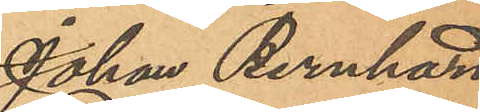Johan Bernhard
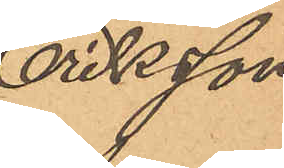Eriksson.
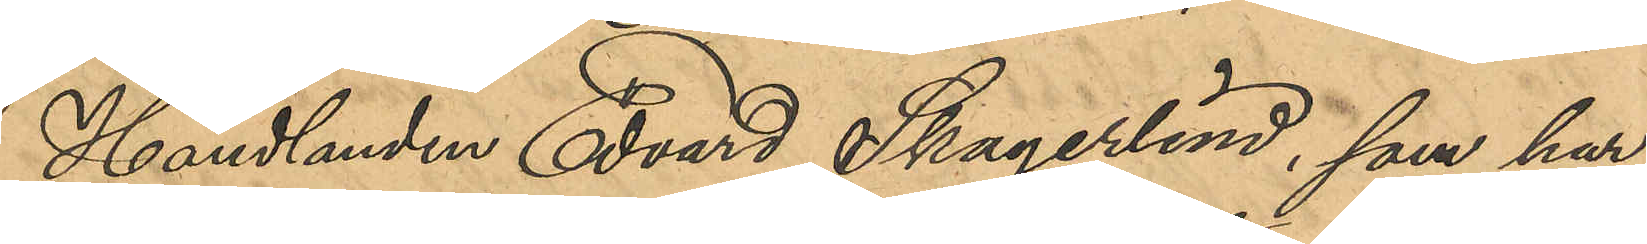Handlanden Edvard Skagerlind, som har
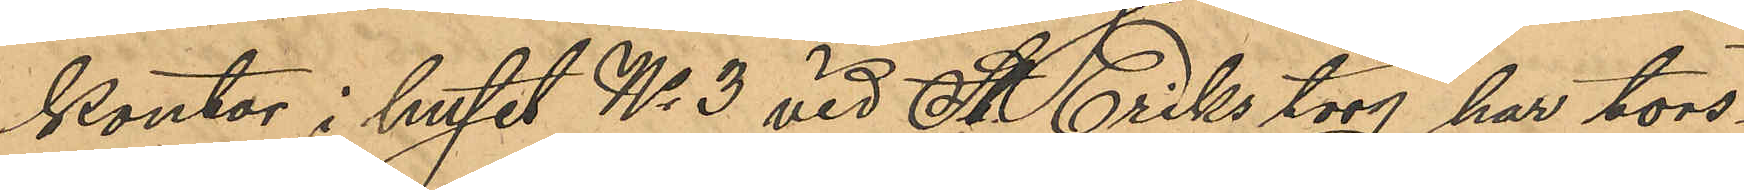kontor i huset No 3 vid St. Eriks torg har tors¬
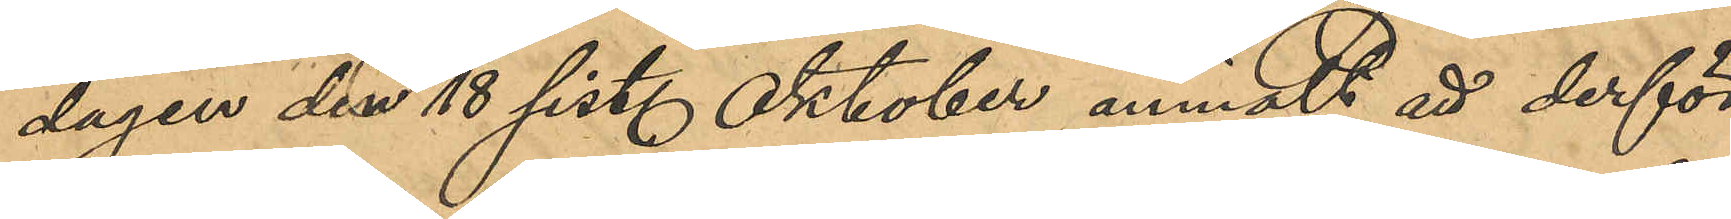dagen den 18 sist. Oktober anmält att derför¬
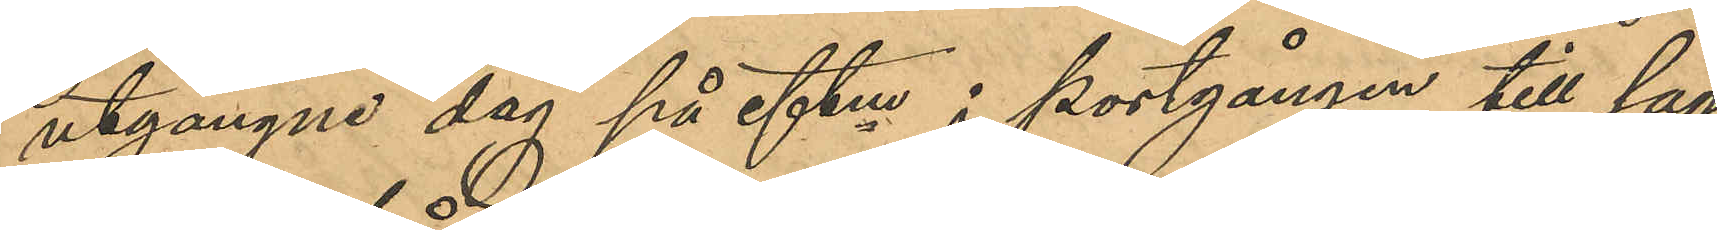utgangne dag på eftm i portgången till sag¬
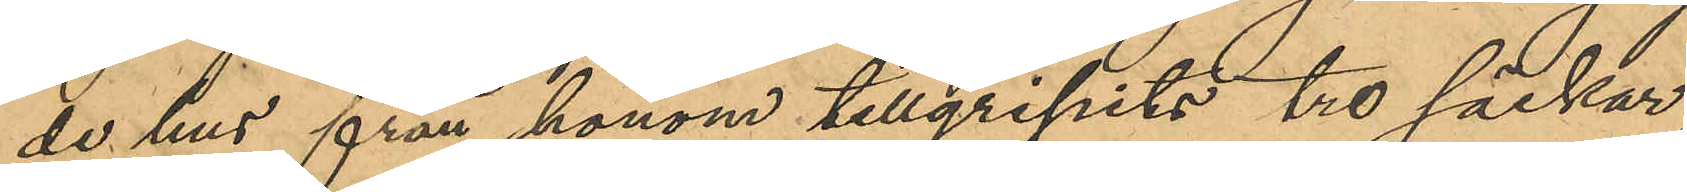de hus från honom tillgripits tre säckar
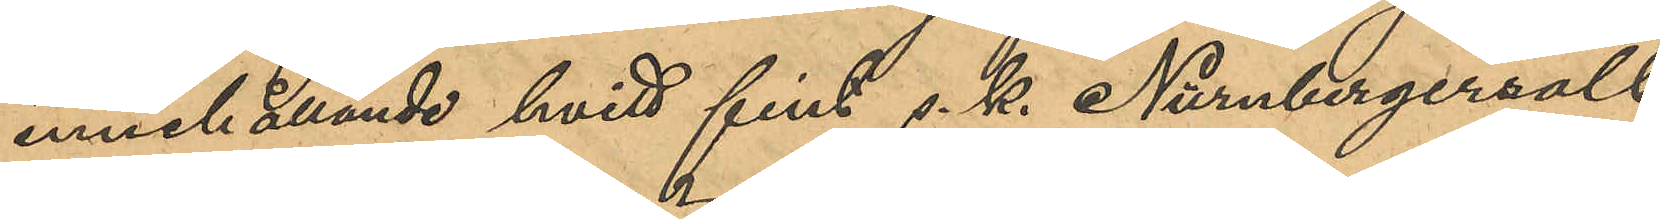innehållande hvitt fint s. k. Nürnbergersalt,
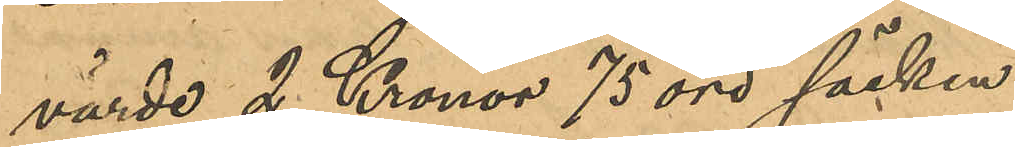värde 2 Kronor 75 öre säcken.
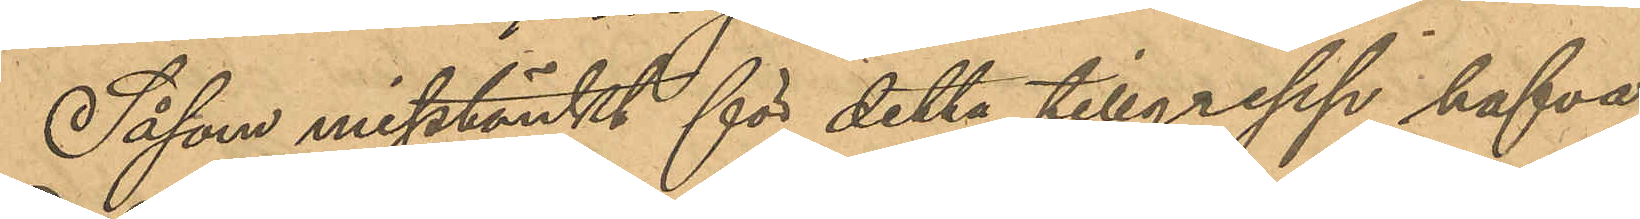Såsom misstänkt för detta tillgrepp hafva
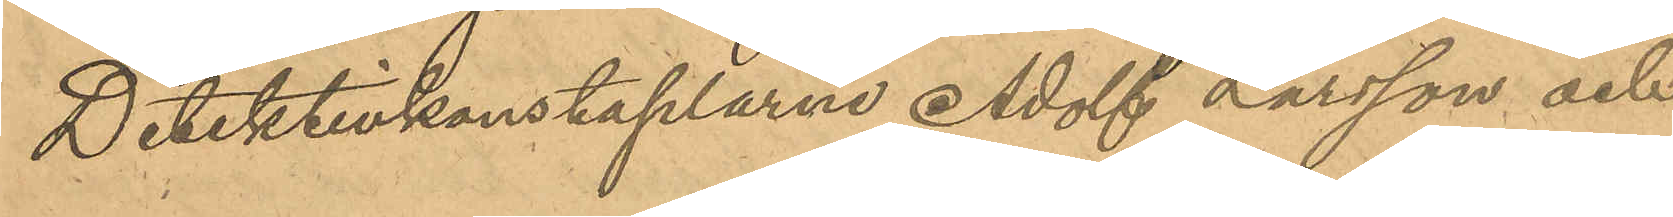Detektivkonstaplarne Adolf Larsson och
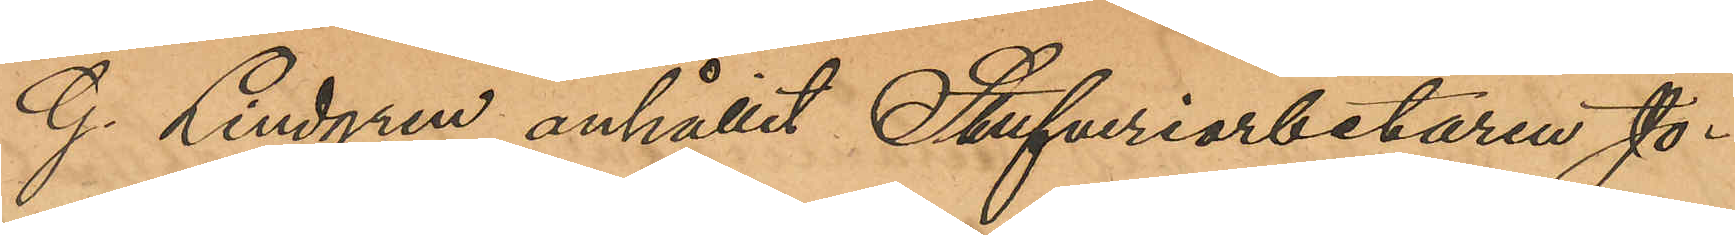G. Lindgren anhållit Stufveriarbetaren Jo¬
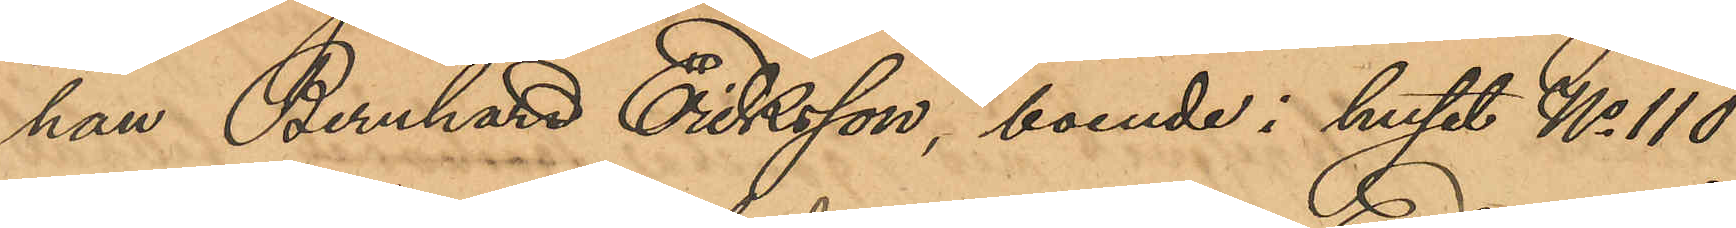han Bernhard Eriksson, boende i huset No 110
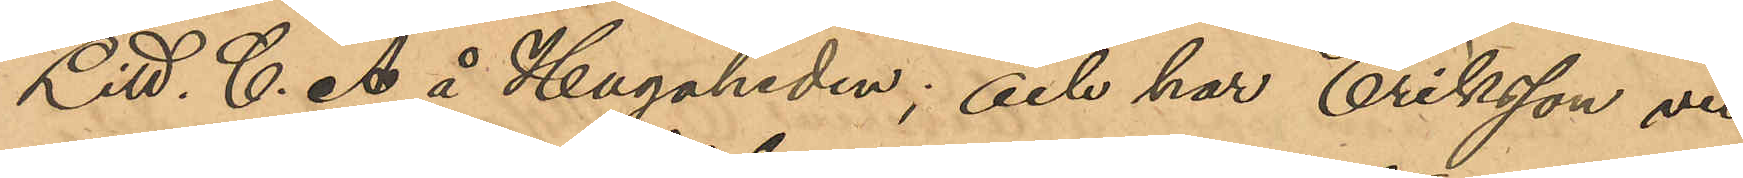Litt. C. A å Hagaheden; och har Eriksson vid
